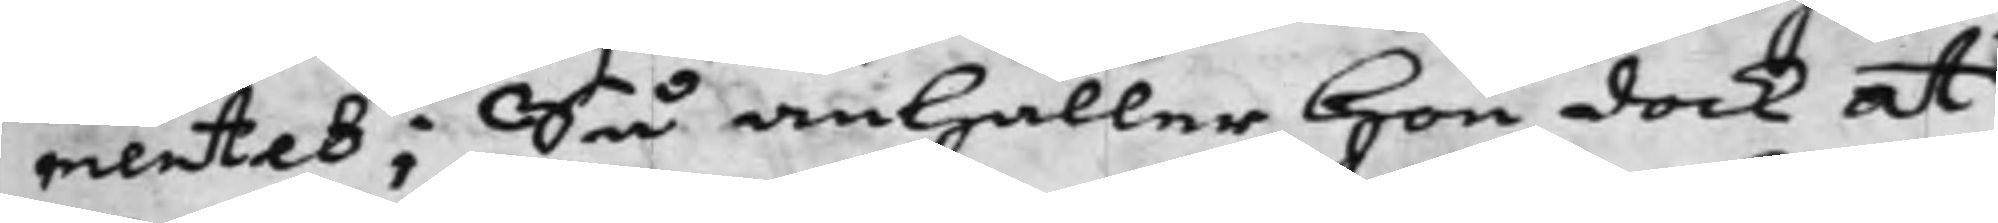mentet; Så anhåller Hon dock at
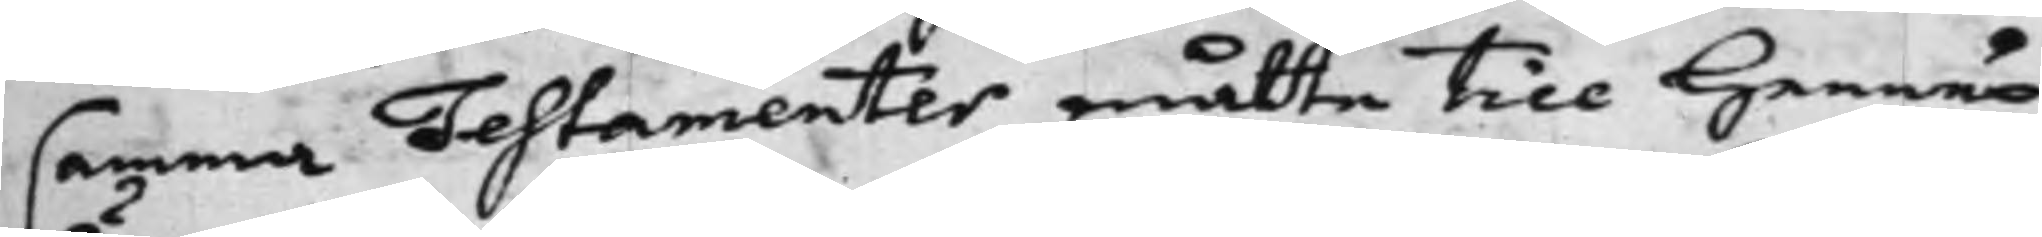samma Testamenter måtte till Hennes
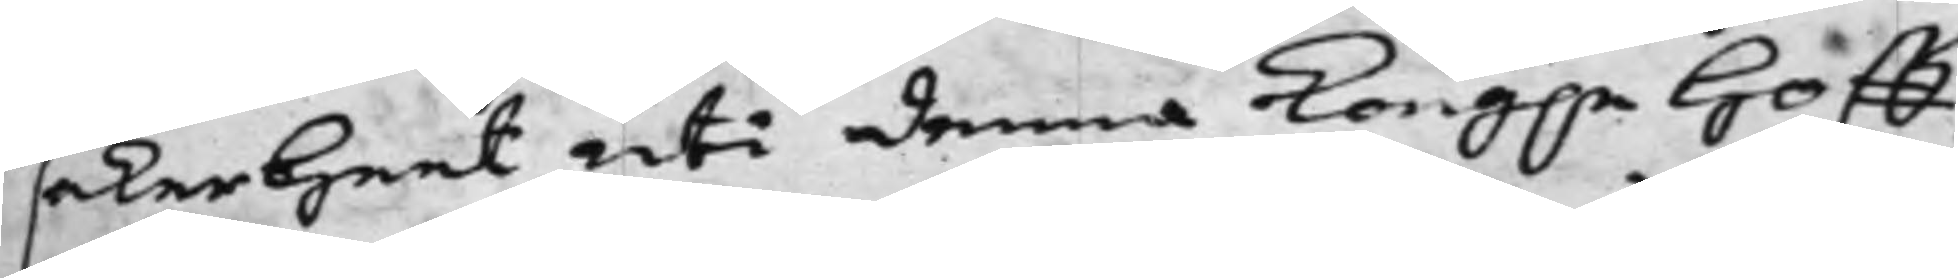säkerheet uti denna Kong.e Hoff¬
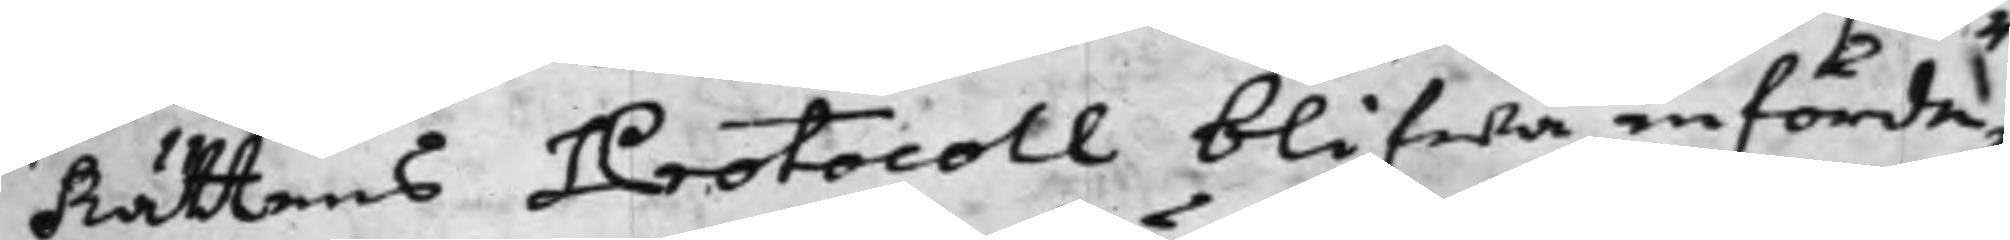Rättens Protocoll blifwa införde,
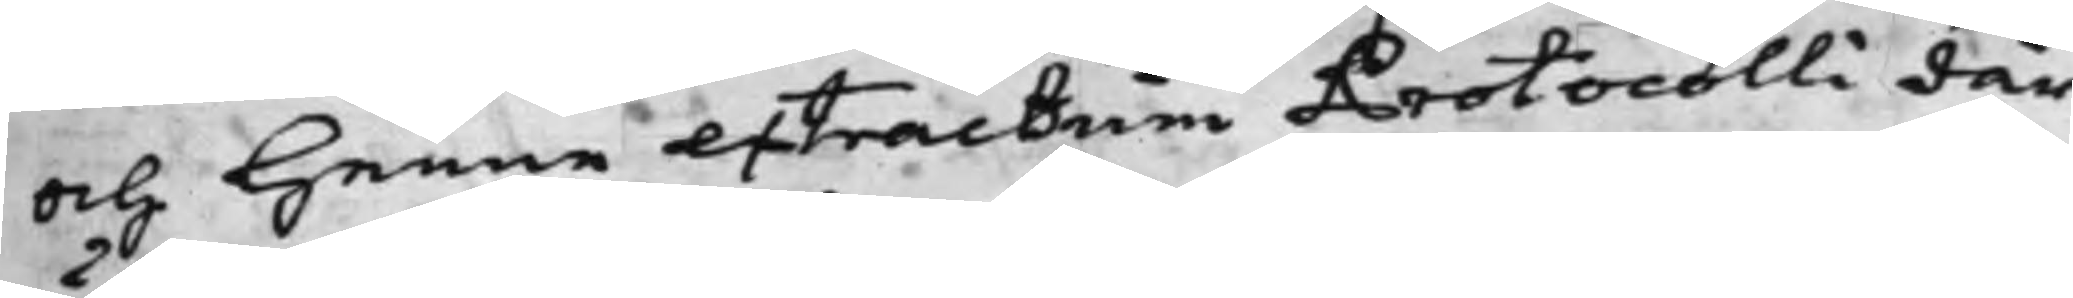och Henne extractum Protocolli där
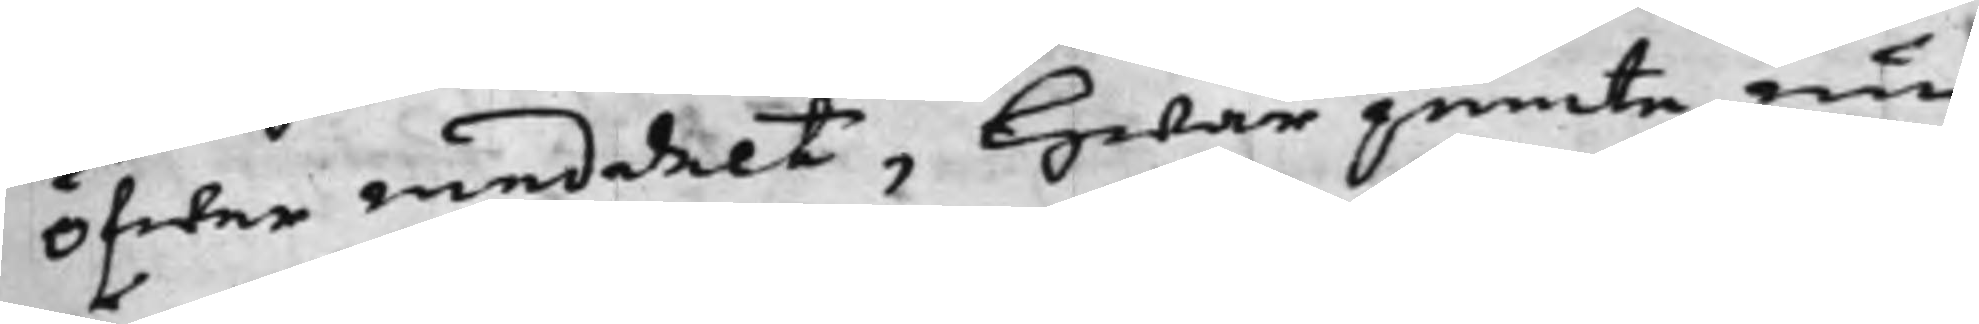Öfwer meddelt, Hwar jemte nu
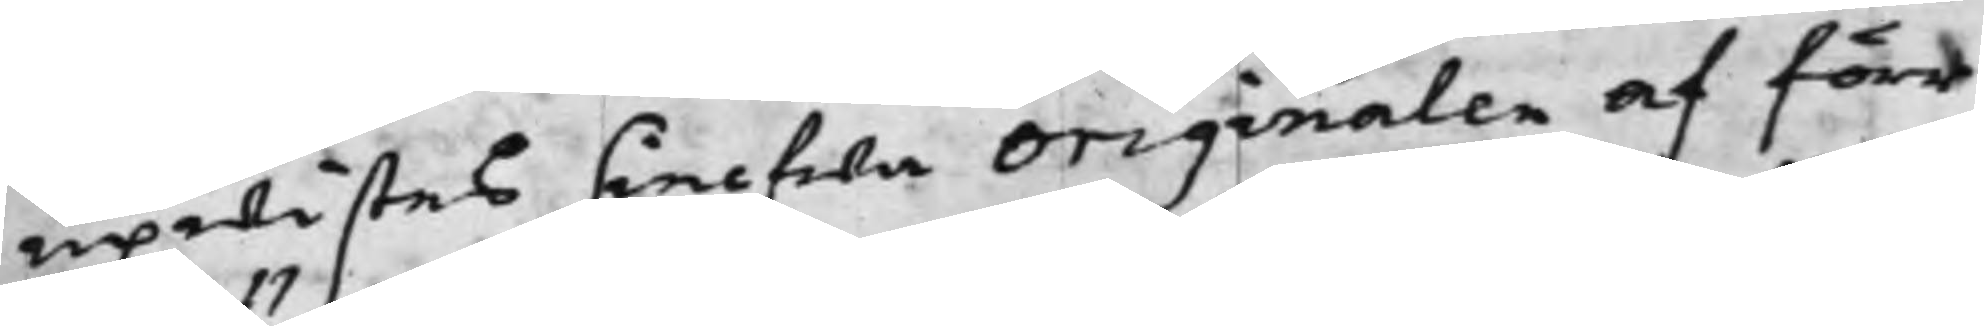upwistes sielfwa Originalen af förr
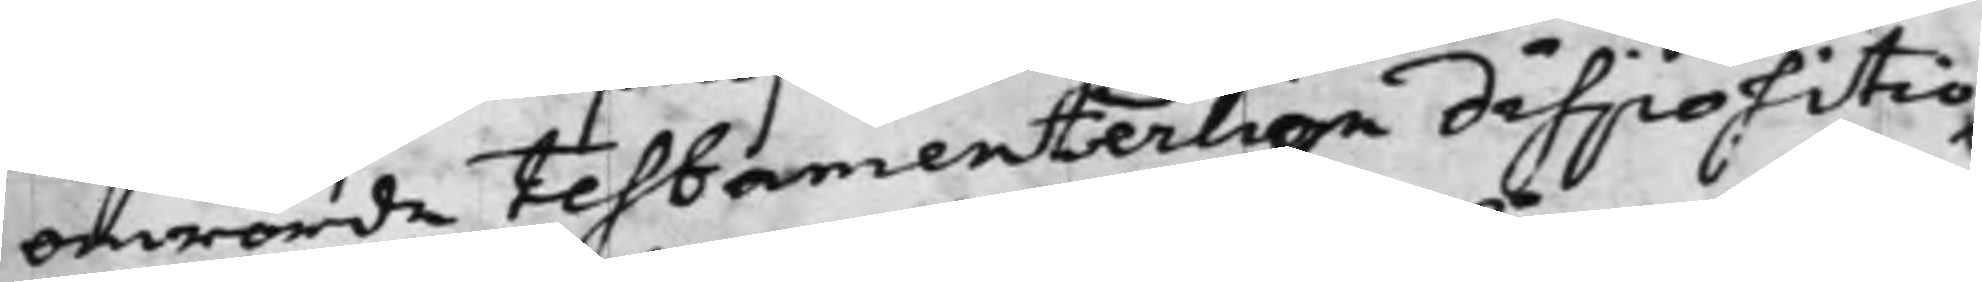omrörde Testamenterlige dispositio¬
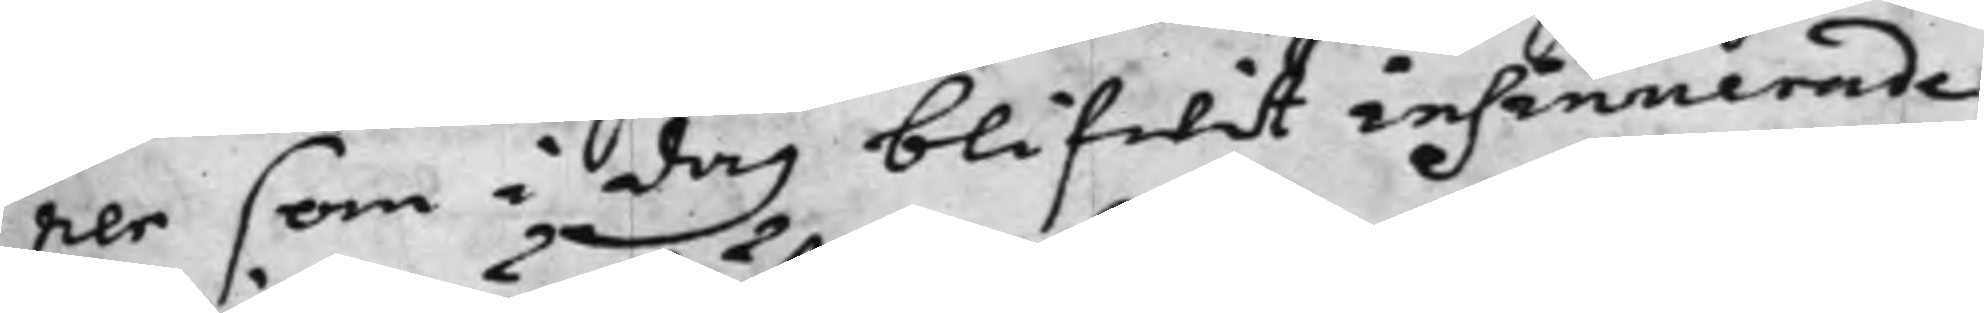ner som i dag blifwit insinuerade.
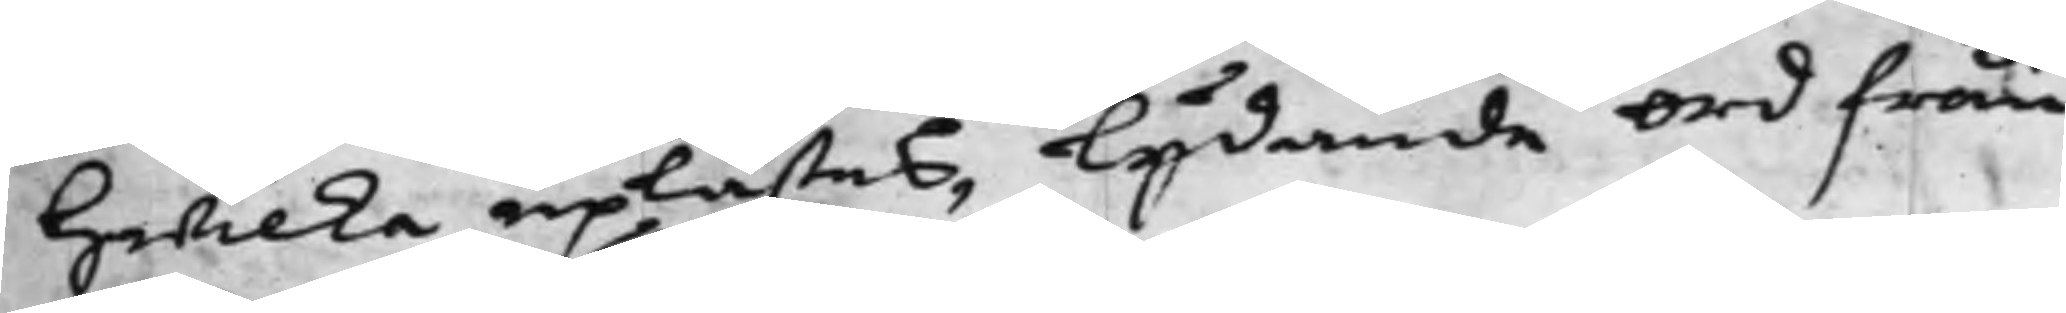Hwilka uplästes, Lydande ord från
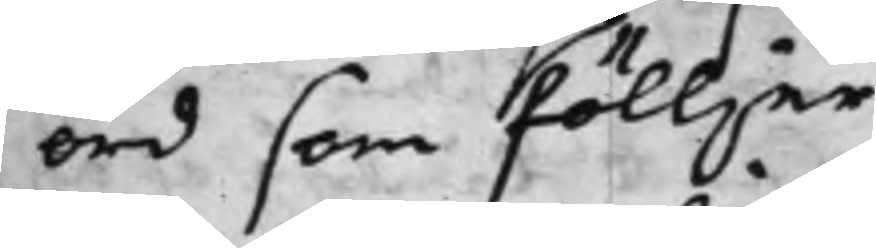ord som fölljer.
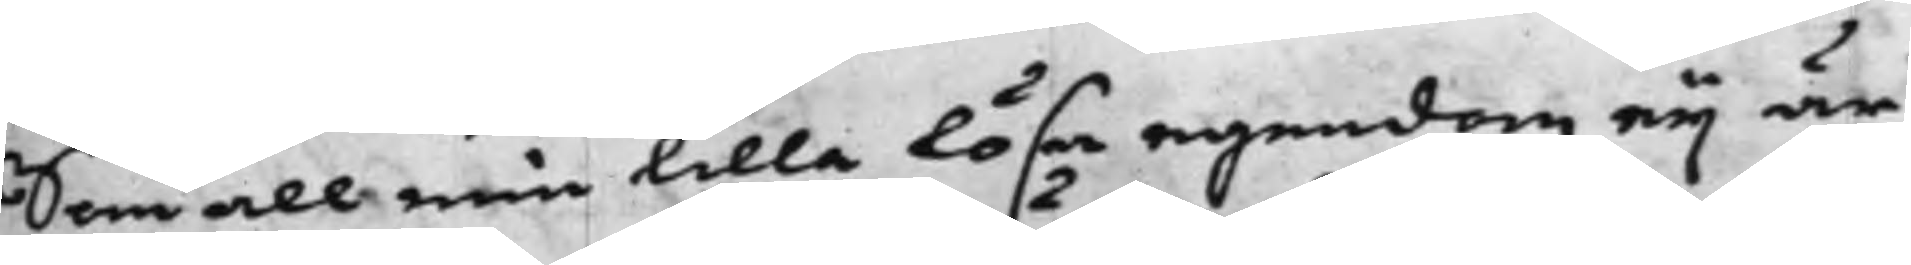Som all min lilla lösa egendom eij är
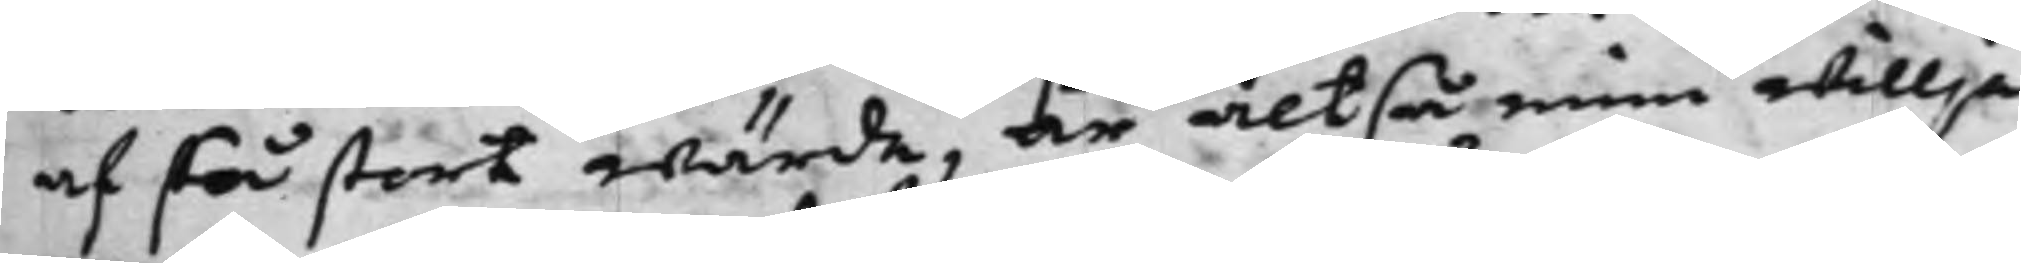af så stort wärde, är altså min willja
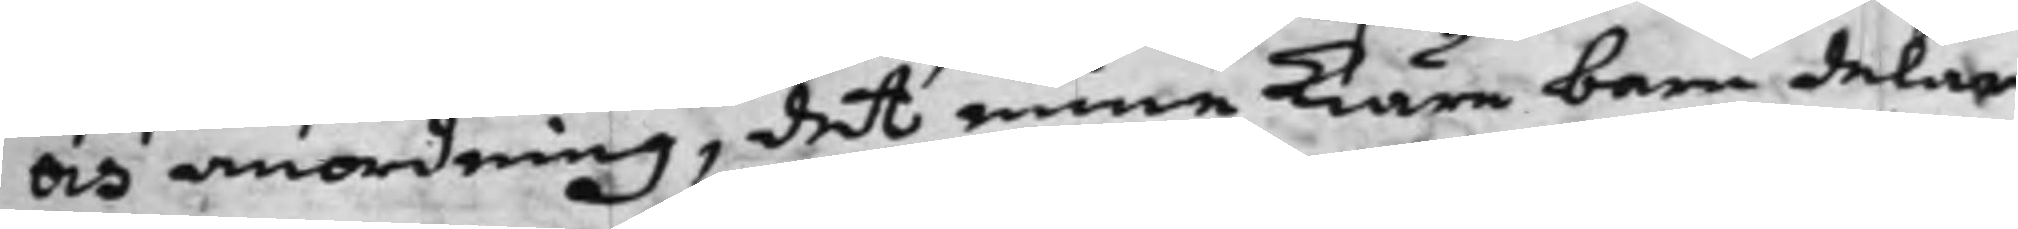och anordning, det mina Kiäre barn delar
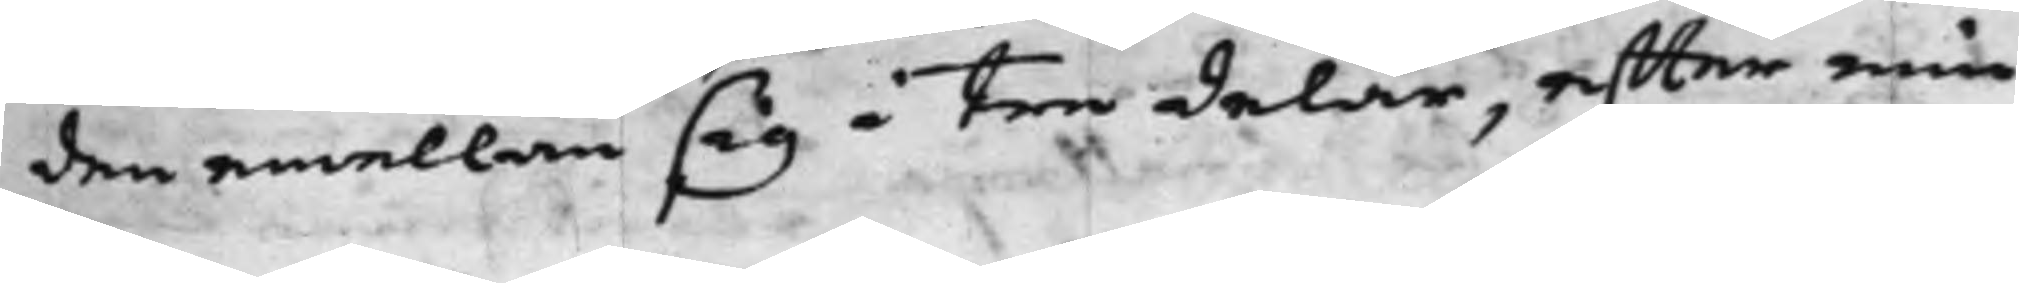den emellan sig i tre delar, effter min
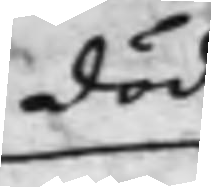död
